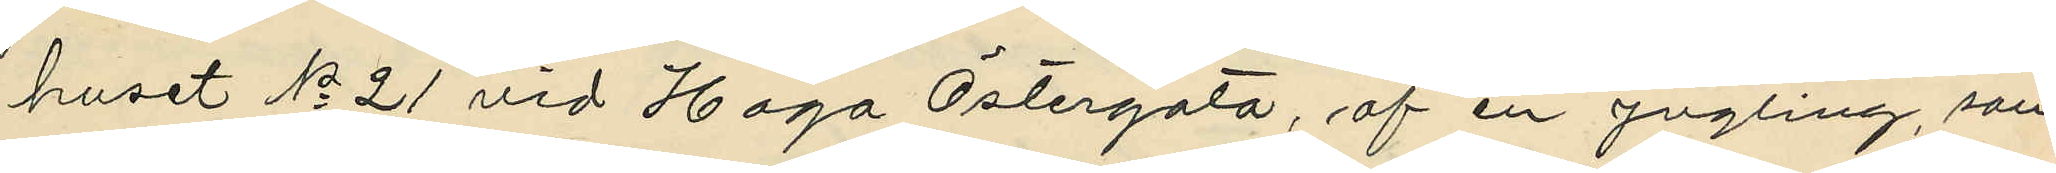huset No 21 vid Haga Östergata, af en yngling, som
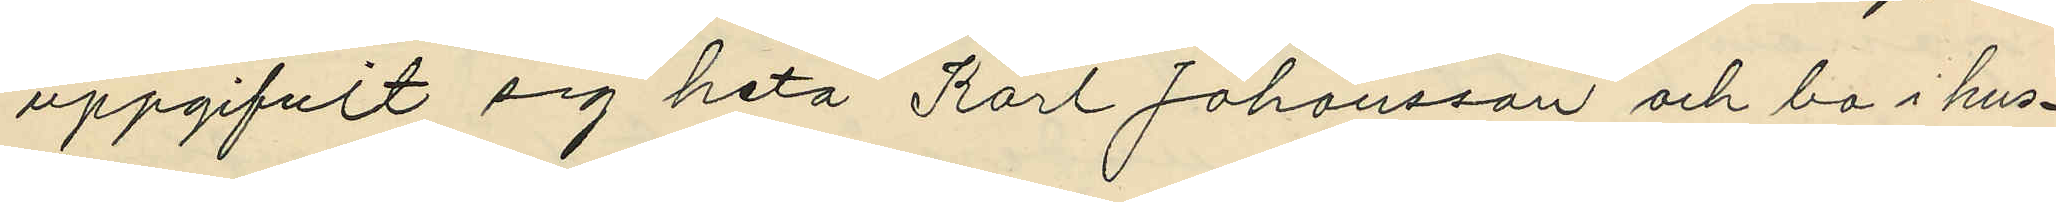uppgifvit sig heta Karl Johansson och bo i hus¬
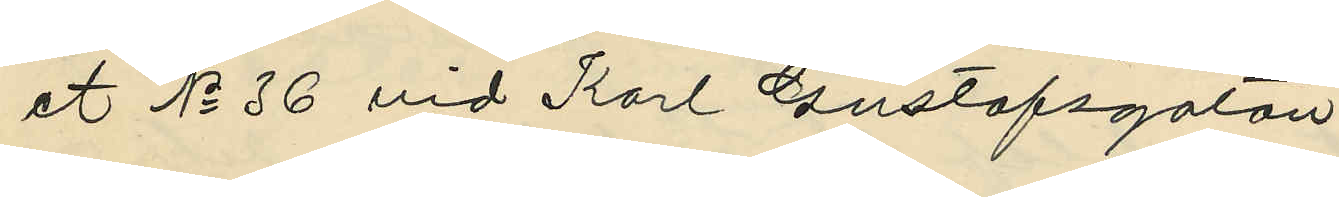et No 36 vid Karl Gustafsgatan
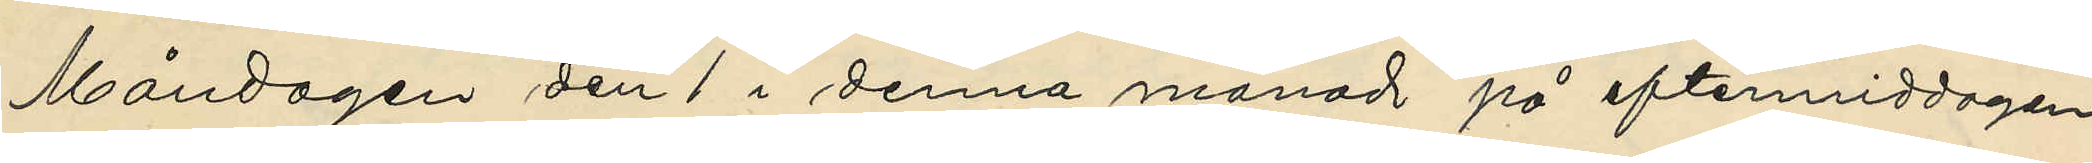Måndagen den 1 i denna månad på eftermiddagen
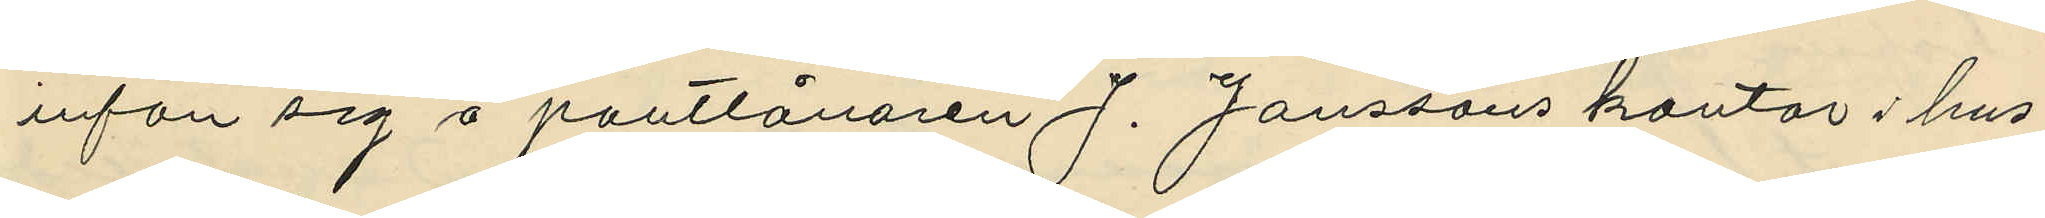infan sig å pantlånaren J. Janssons kontor i hus¬
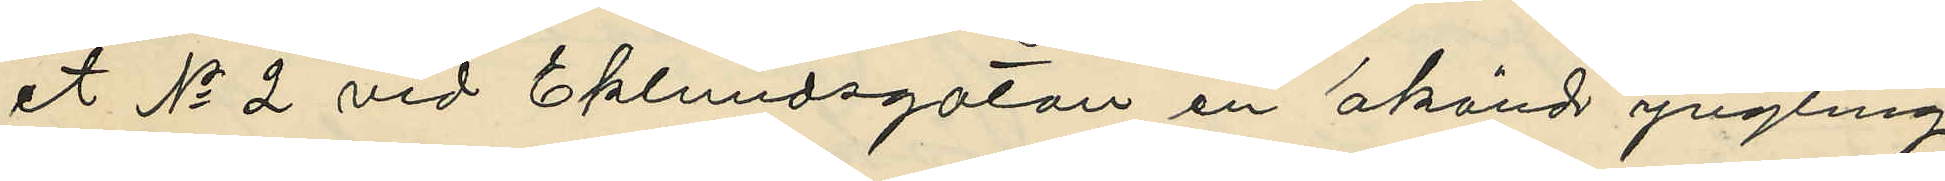et No 2 vid Eklundsgatan en okänd yngling,
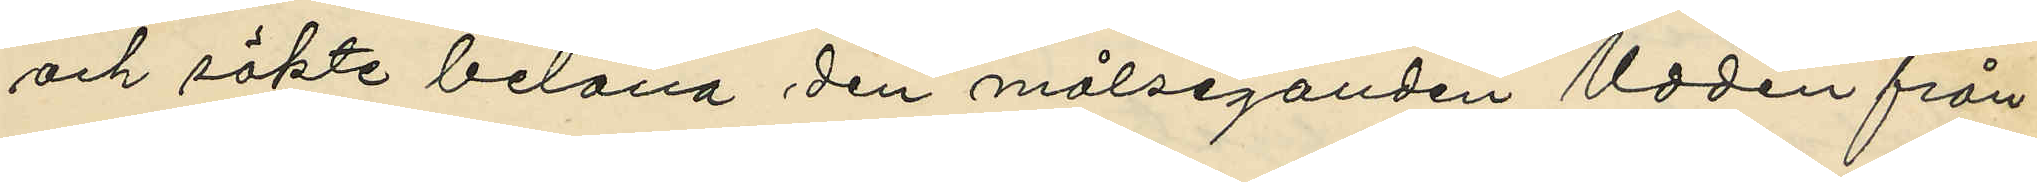och sökte belåna den målseganden Uddén från¬
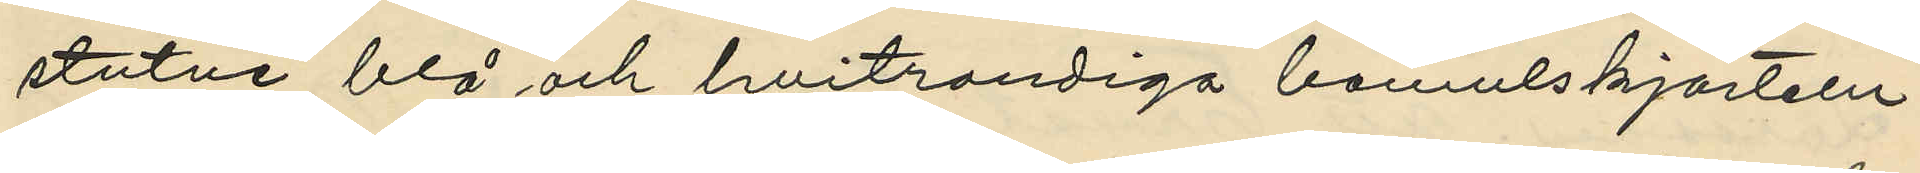stutne blå och hvitrandiga bomulskjorteln,
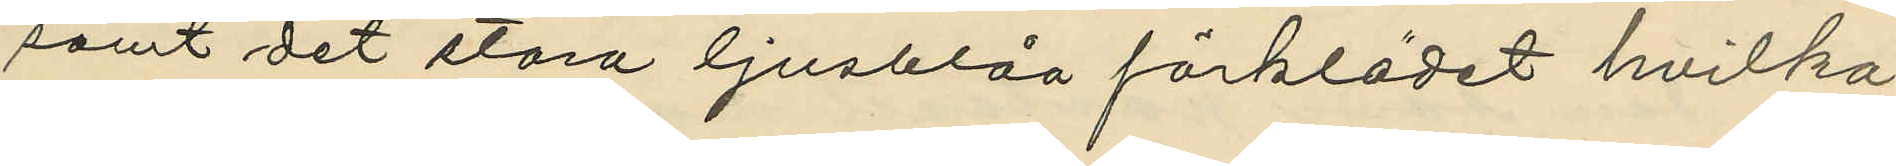samt det stora ljusblåa förklädet hvilka
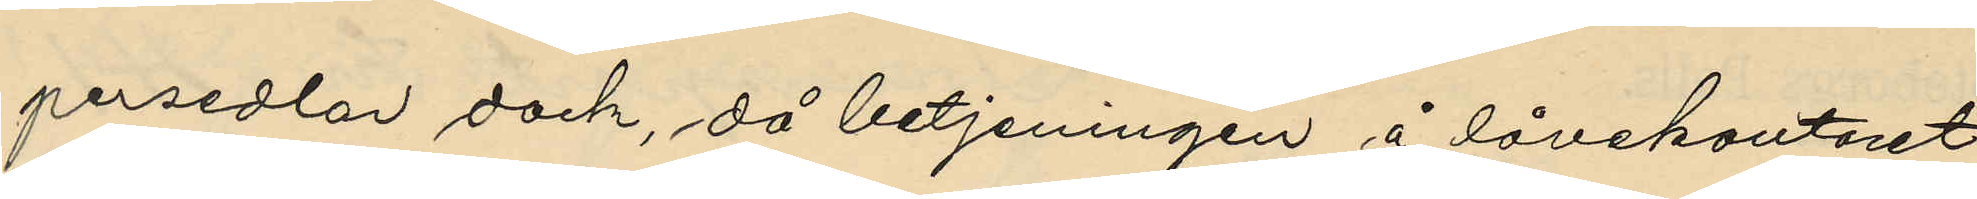persedlar dock, då betjeningen å lånekontoret
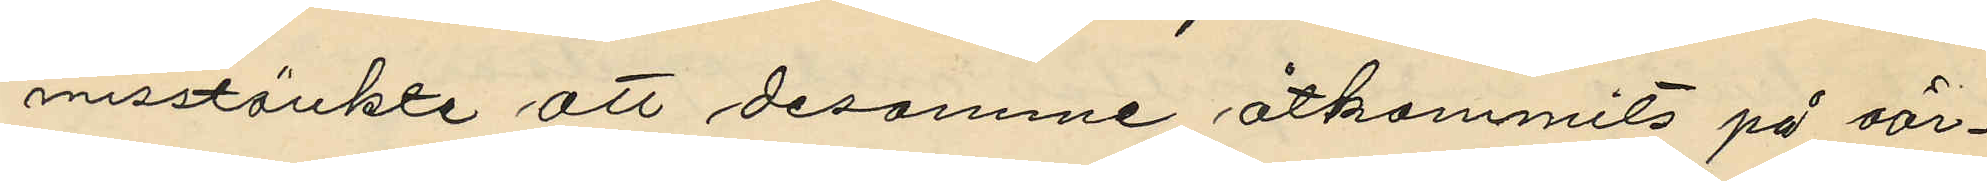misstänkte att desamme åtkommits på oär¬
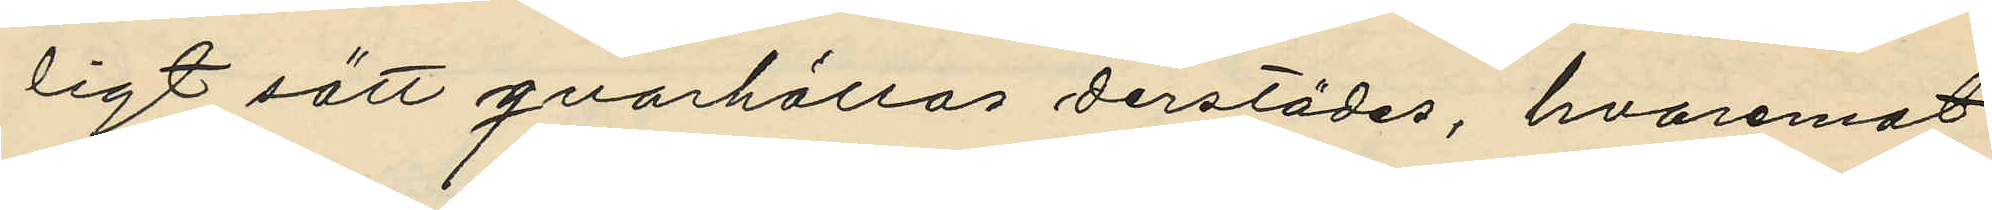ligt sätt qvarhållas derstädes, hvaremot
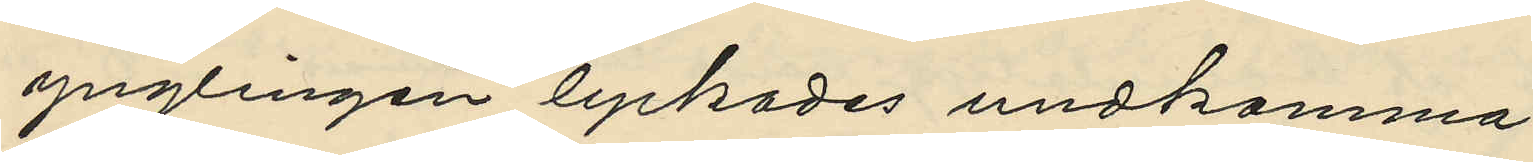ynglingen lyckades undkomma.
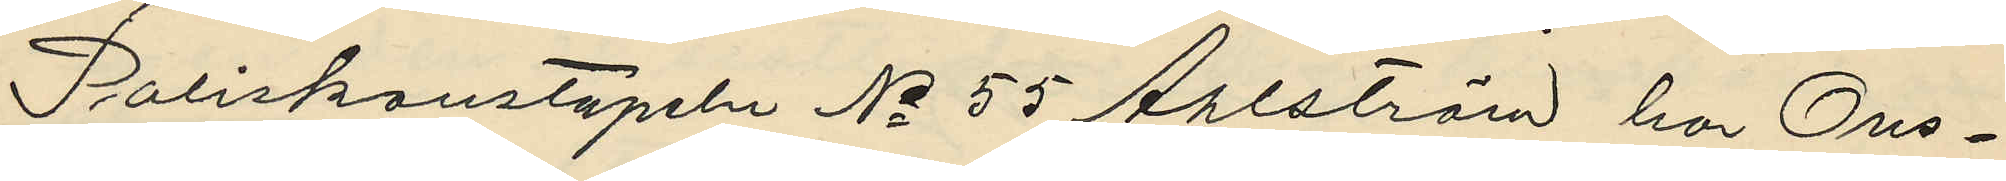Poliskonstapeln No 55 Ahlström hor Ons¬
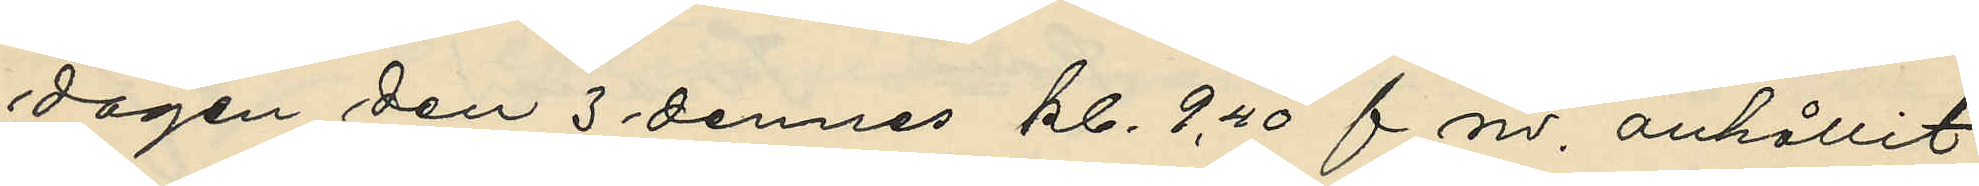dagen den 3 dennes kl. 9,40 f.m. anhållit
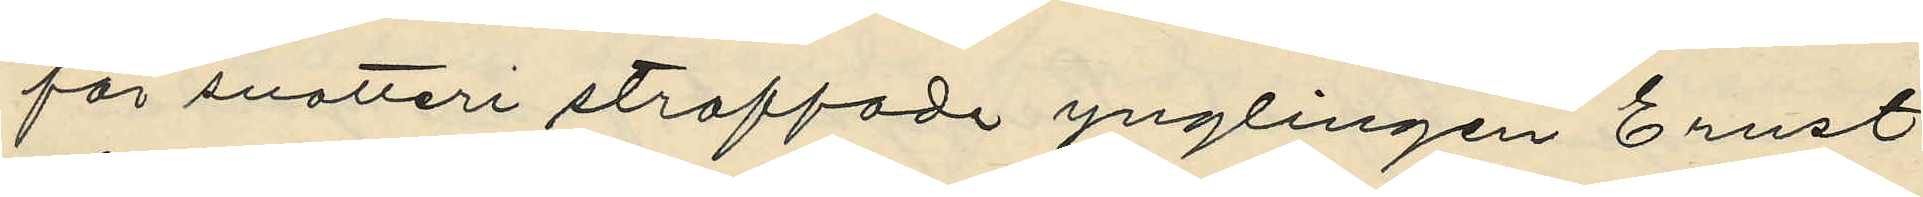för snatteri straffade ynglingen Ernst
